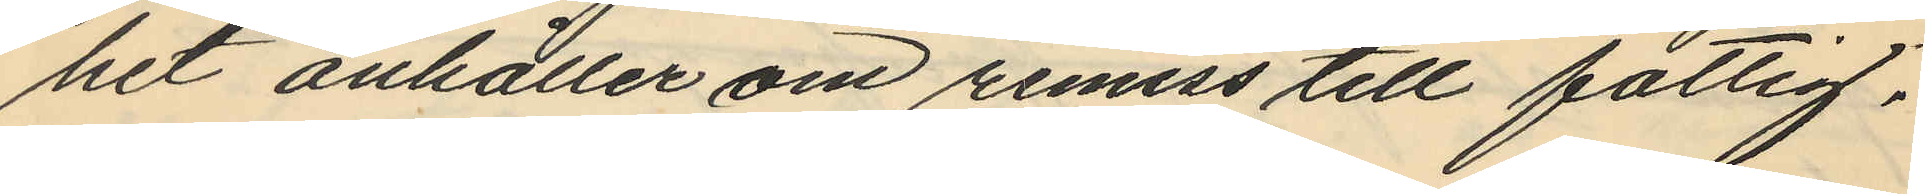het anhåller om remiss till fattig¬
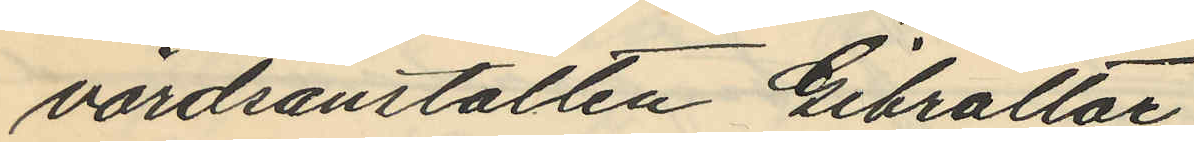vårdsanstalten Gibraltar.
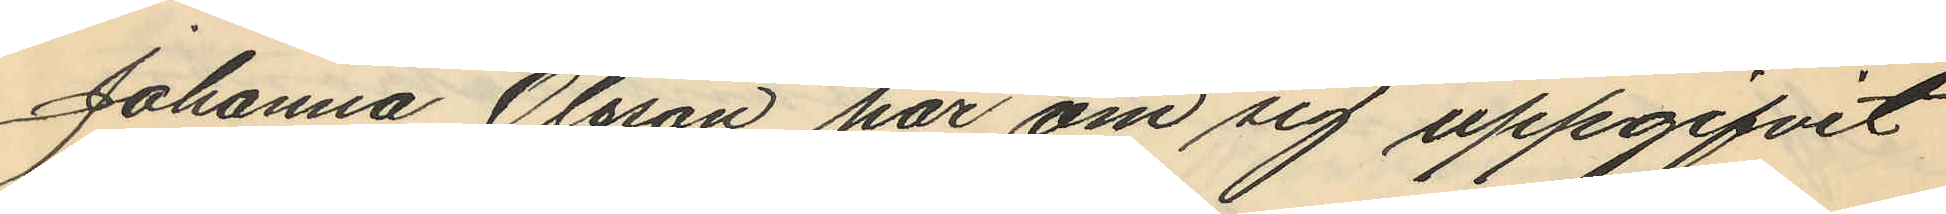Johanna Olsson har om sig uppgifvit
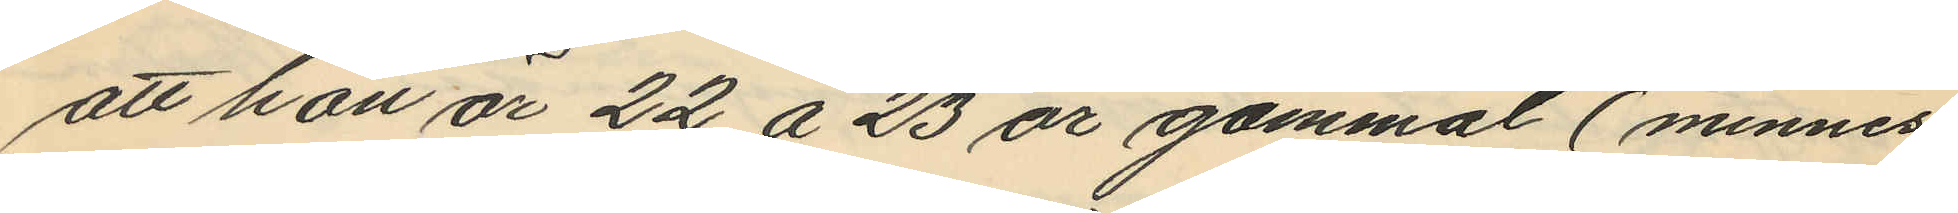att hon är 22 å 23 år gammal (minnes
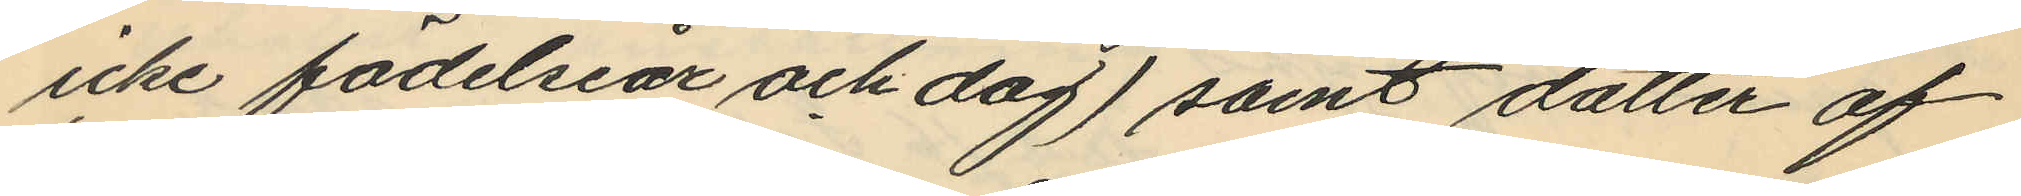icke födelseår och dag) samt dotter af
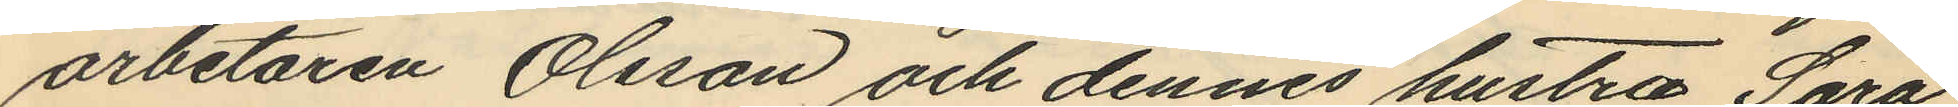arbetaren Olsson och dennes hustru Sara
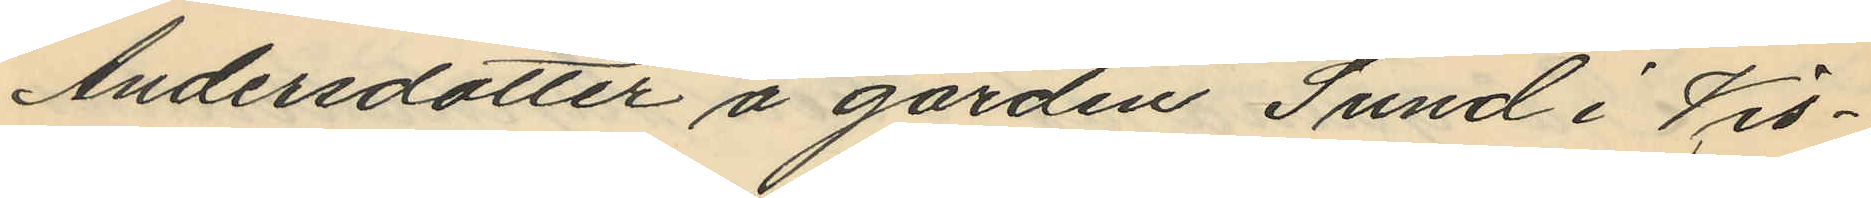Andersdotter å gården Sund i Vis¬
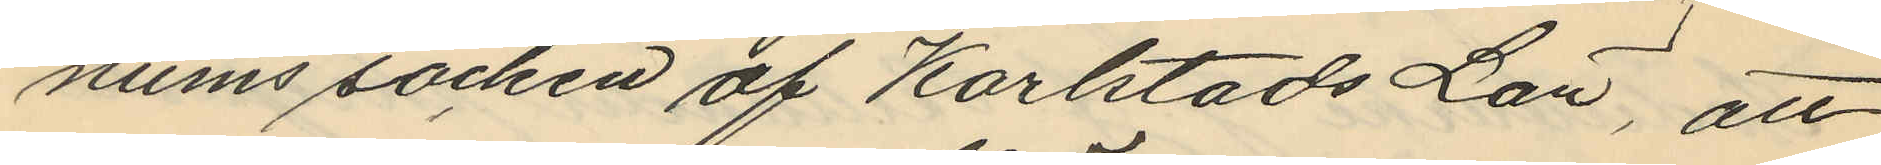nums socken af Karlstads Län, att
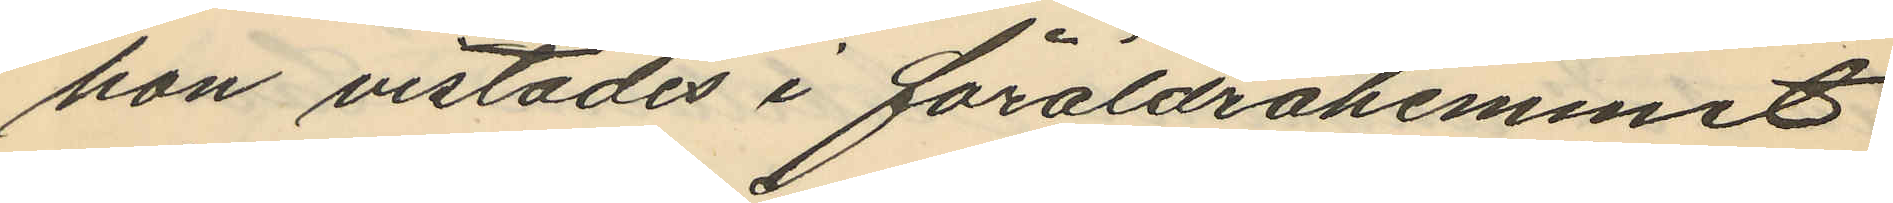hon vistades i föräldrahemmet
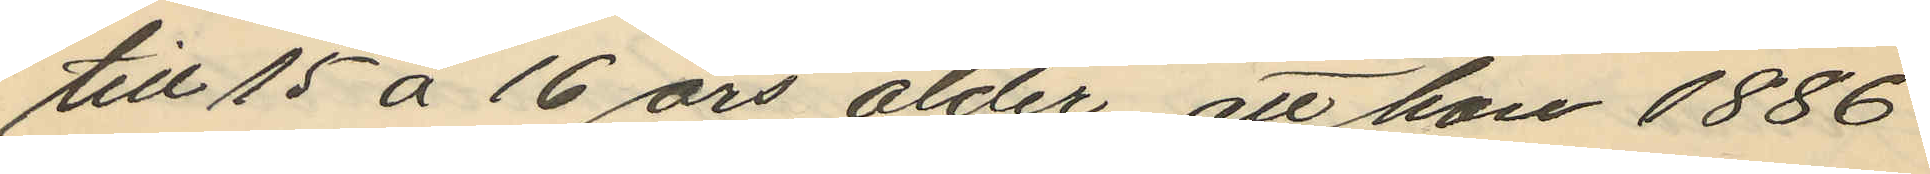till 15 á 16 års ålder att hon 1886
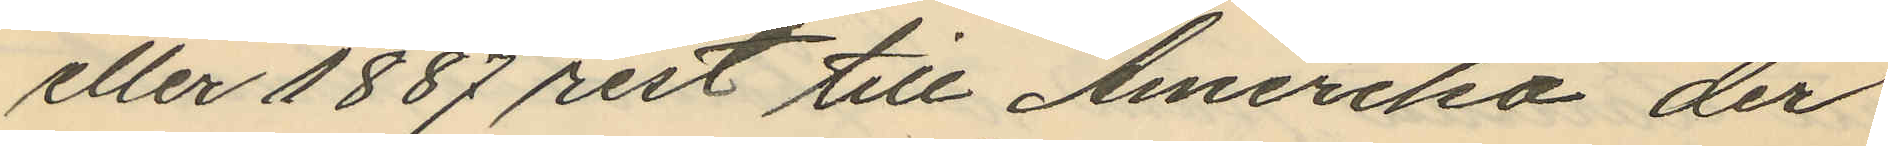eller 1887 rest till Amerika der
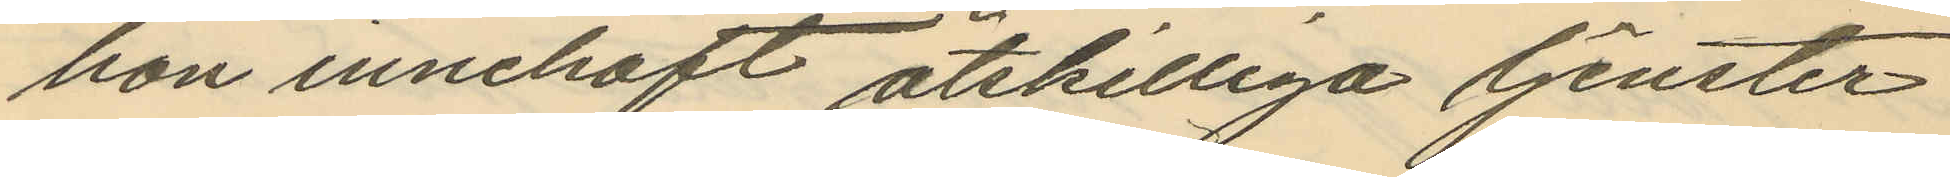hon innehaft åtskilliga tjenster
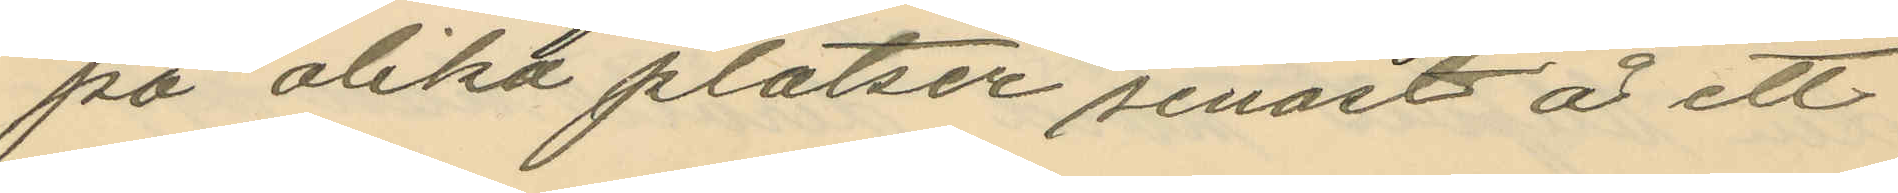på olika platser senast å ett
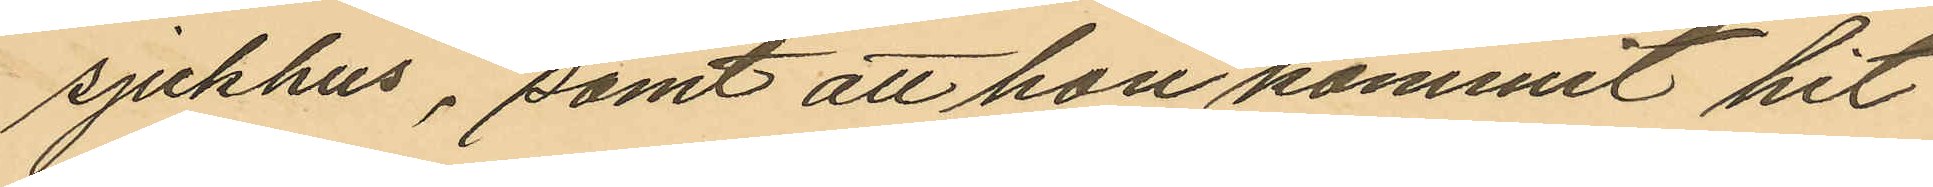sjukhus, samt att hon kommit hit
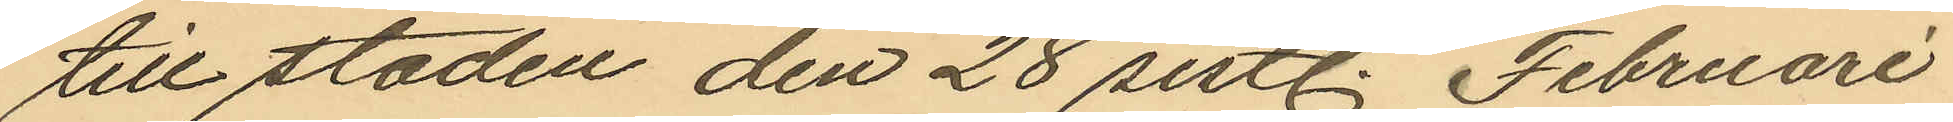till staden den 28 sistl. Februari
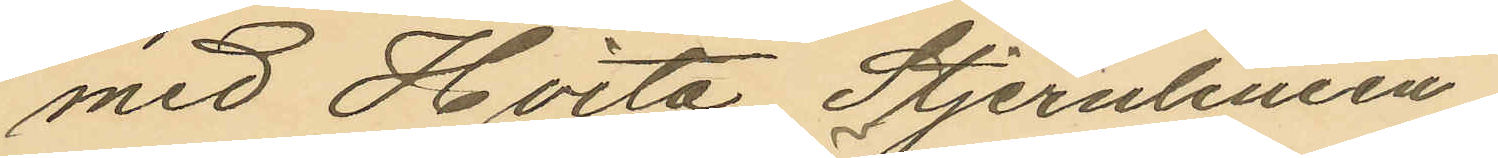med Hvita Stjernlinien.
